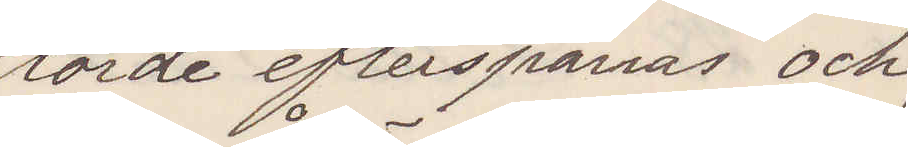torde efterspanas och
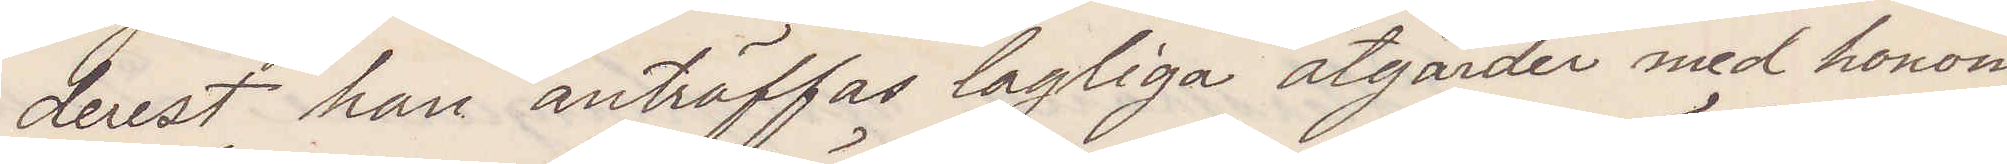derest han anträffas lagliga åtgärder med honom
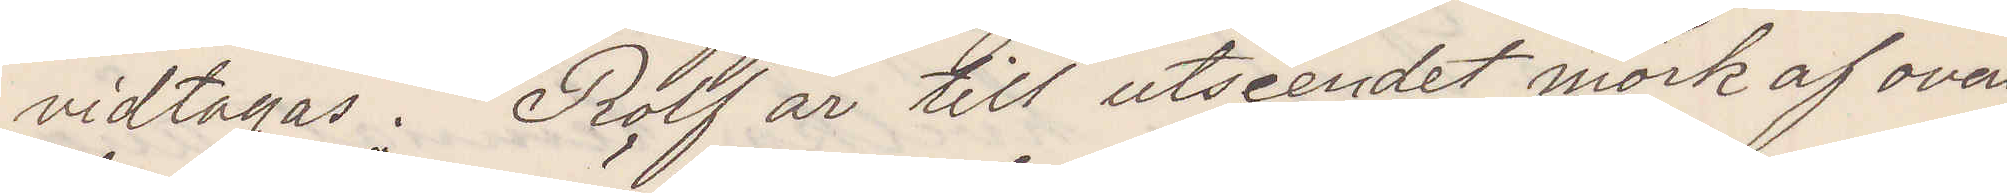vidtagas. Rolf är till utseendet mörk af ovan¬
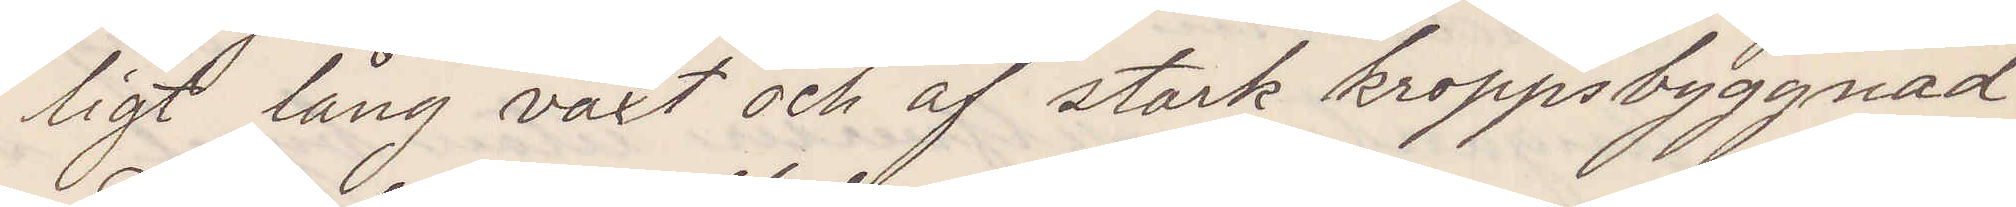ligt lång växt och af stark kroppsbyggnad.
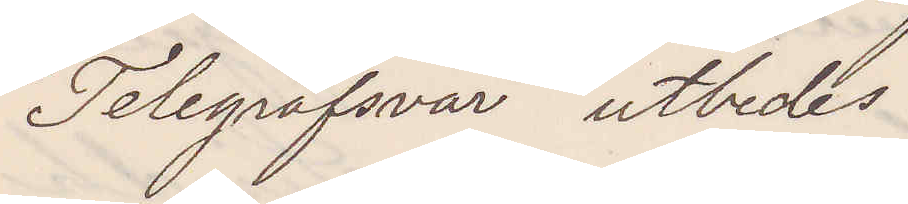Telegrafsvar utbedes.
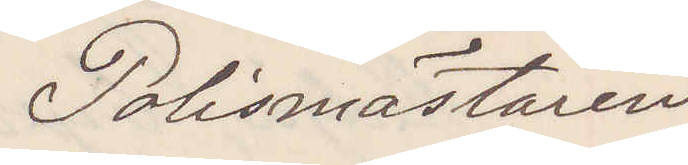Polismästaren
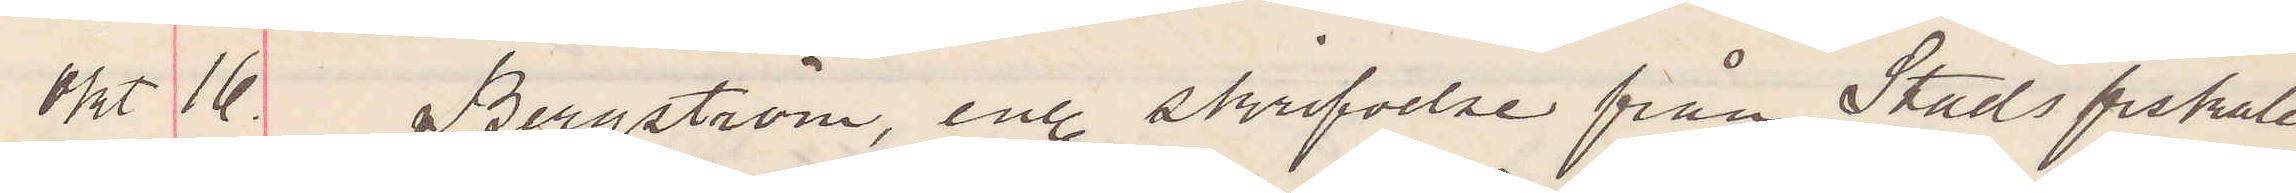Okt 16. Bergström, enl. skrifvelse från Stadsfiskalen
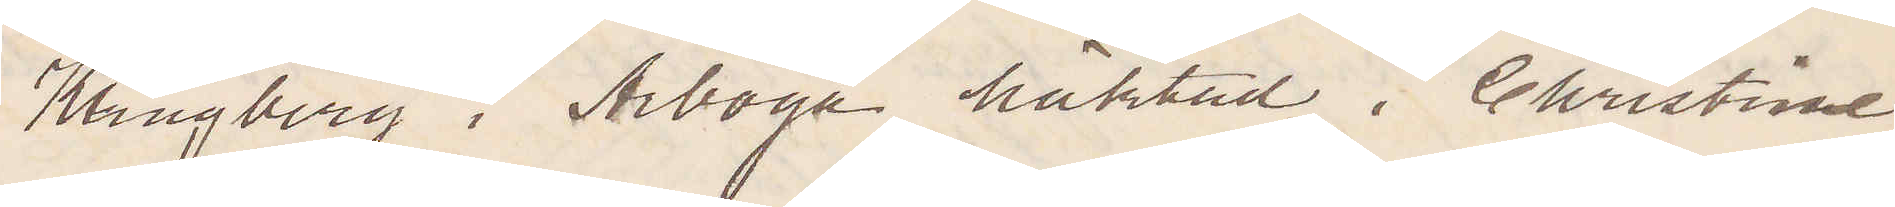Klingberg i Arboga häktad i Christine¬
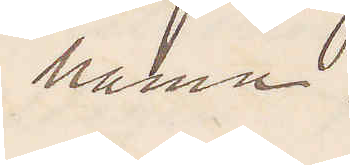hamn.
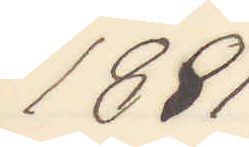1881
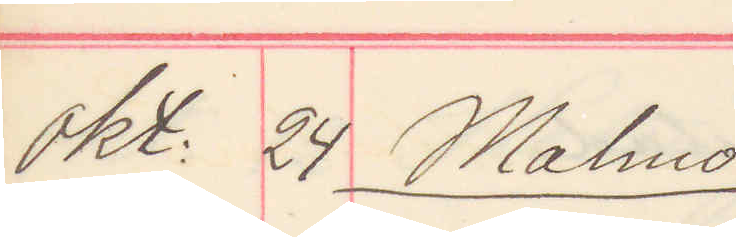okt. 24 Malmö
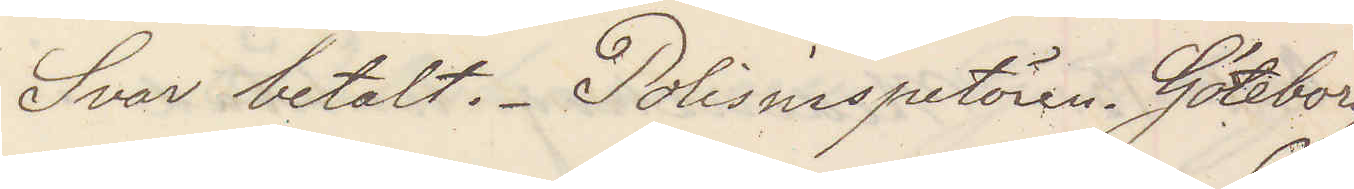Svar betalt. Polisinspektören. Göteborg
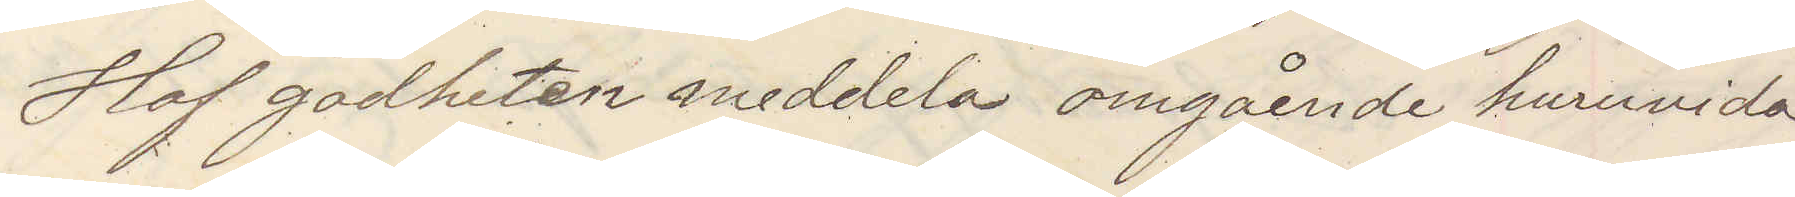Haf godheten meddela omgående huruvida
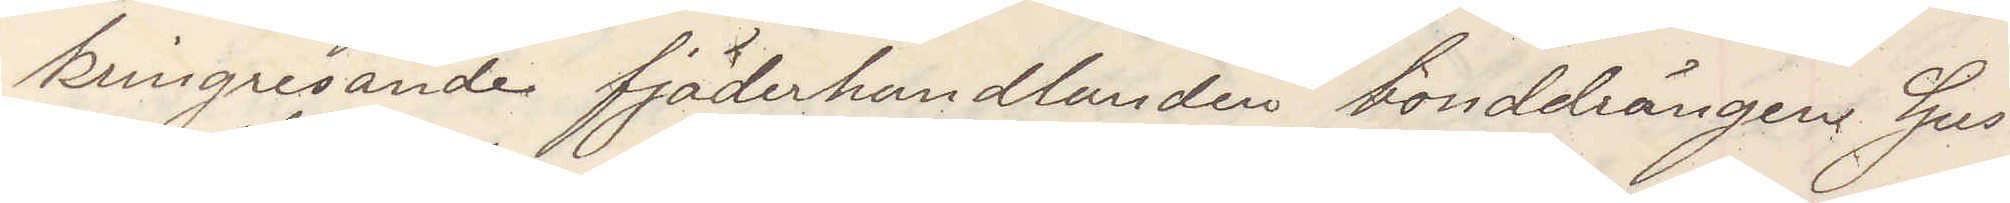kringresande fjäderhandlanden bonddrängen Gus¬
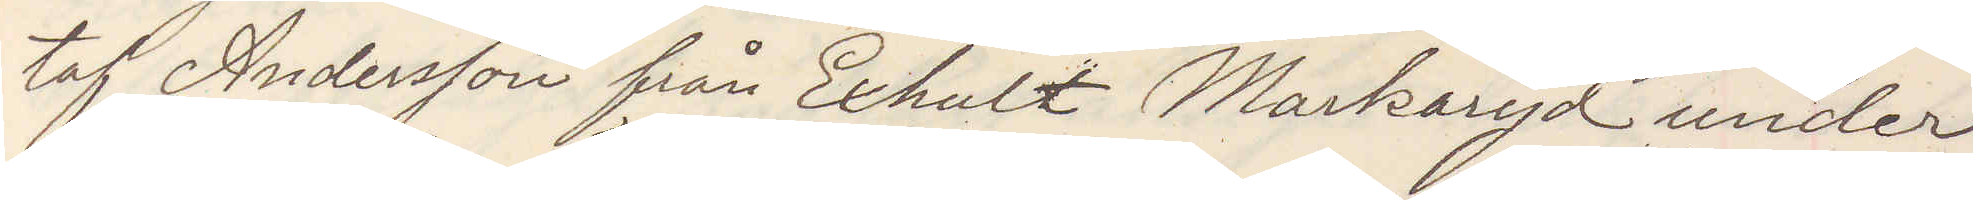taf Andersson från Exhult Markaryd under
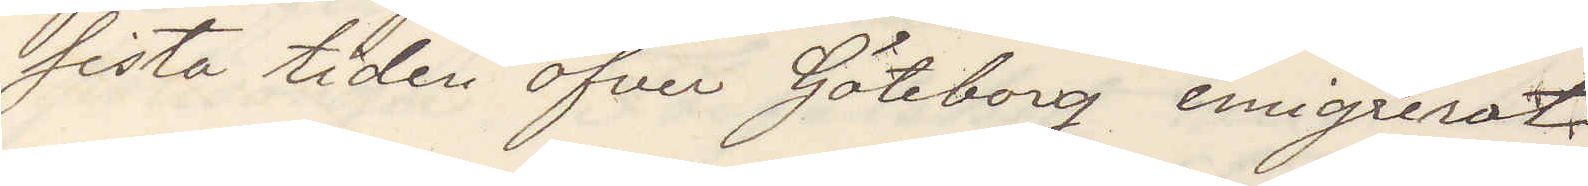sista tiden öfver Göteborg emigrerat.
